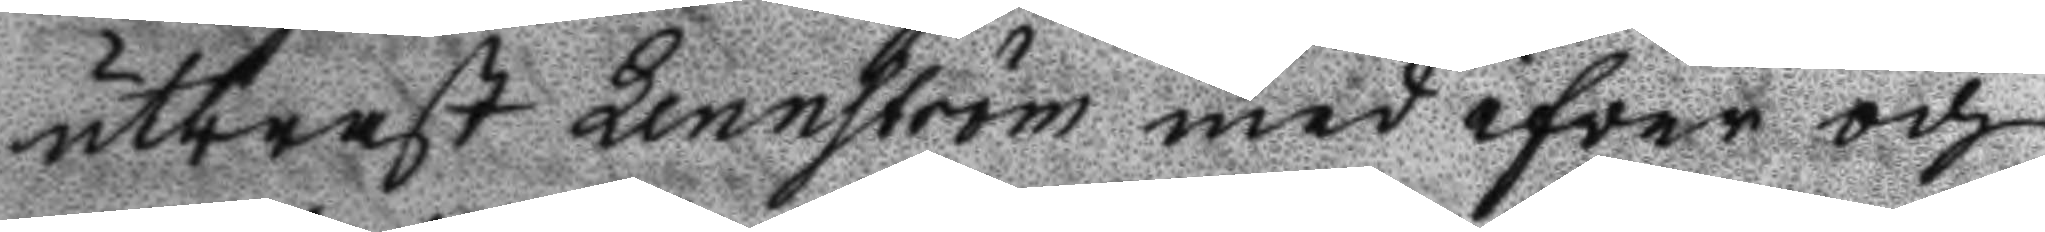utbrast Lennström med ifver och
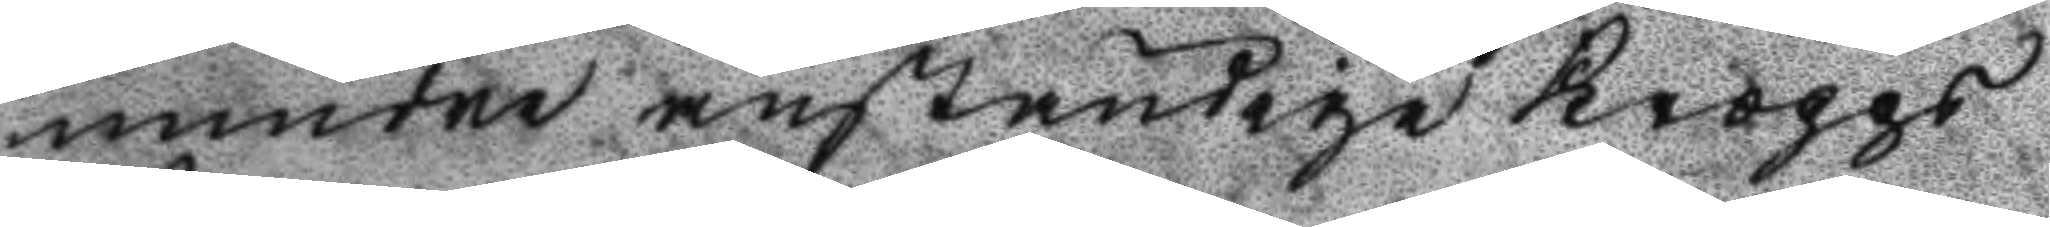mindre anständige Kropps
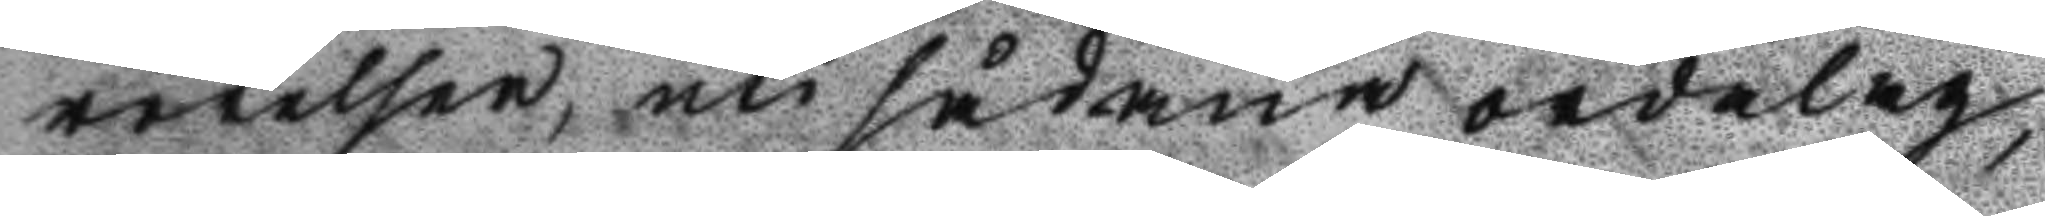rörelser, uti sådana ordalag,
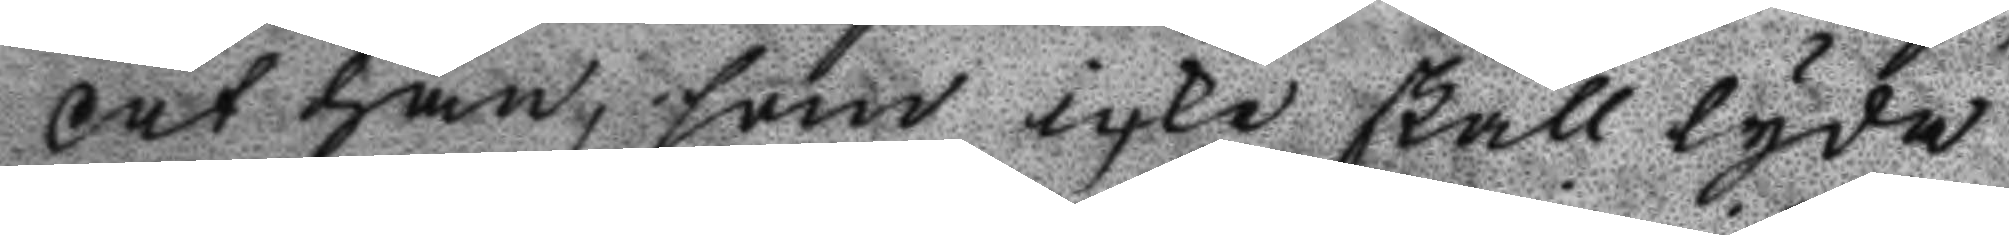at han, som icke skall lyda
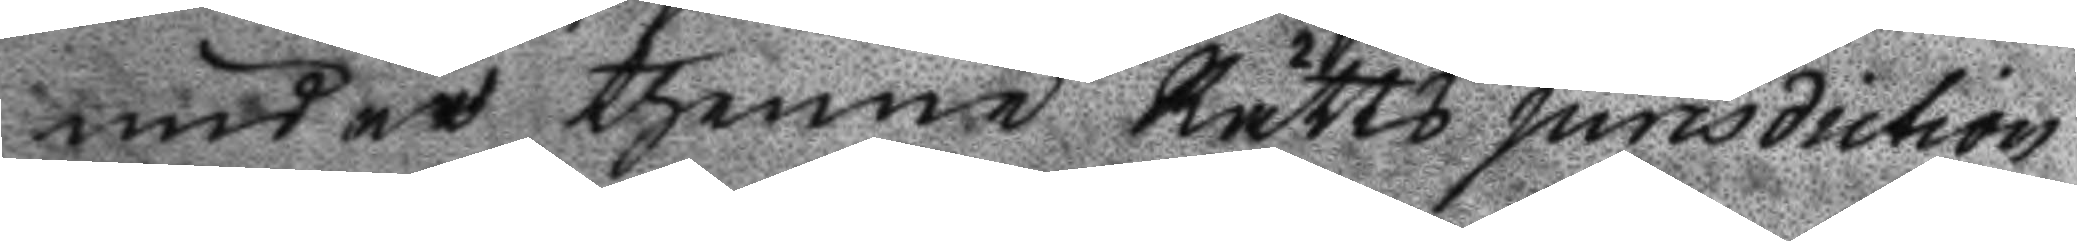under thenne Rätts jurisdiction
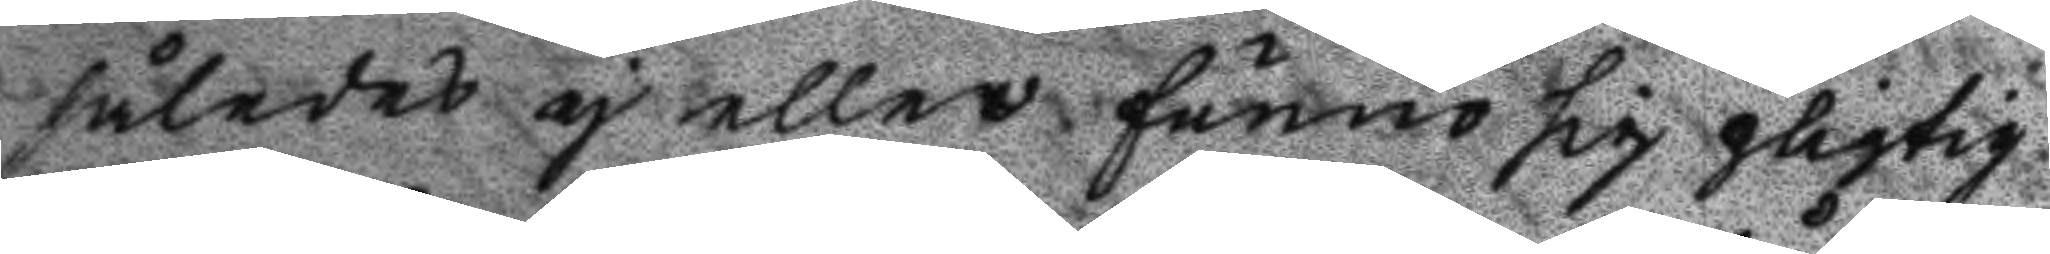således ej eller funno sig pligtig
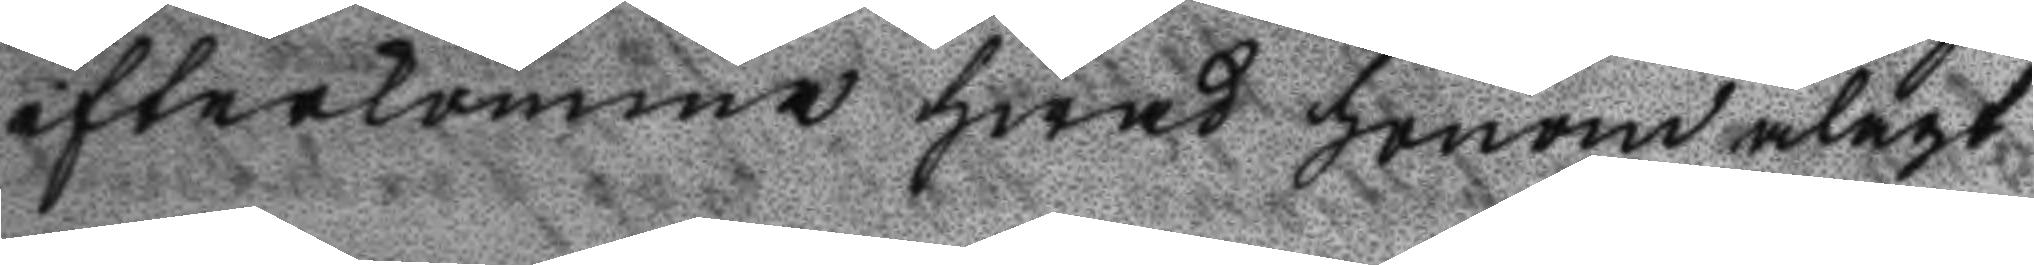efterkomma hwad honom ålagt
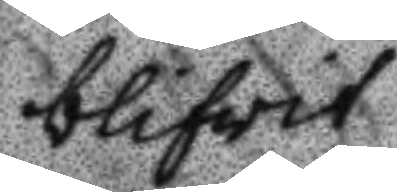blifwit
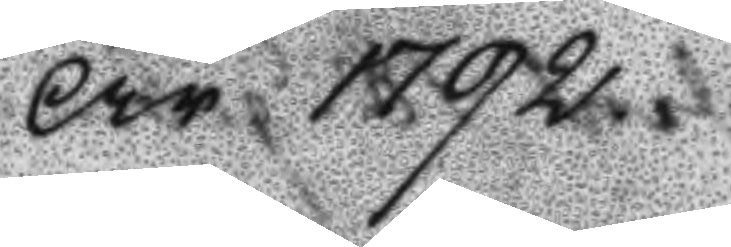År 1792.
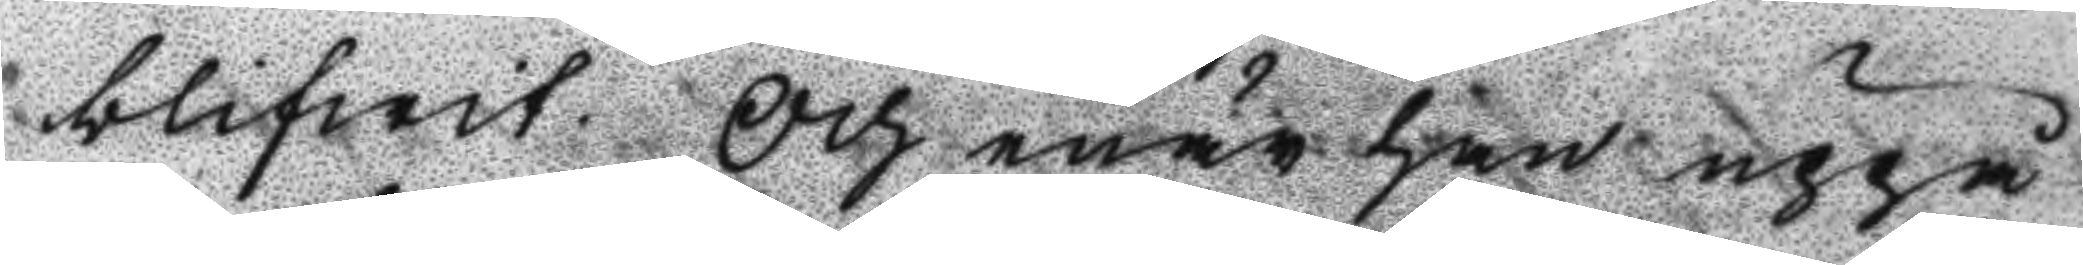blifwit. Och enär han uppå
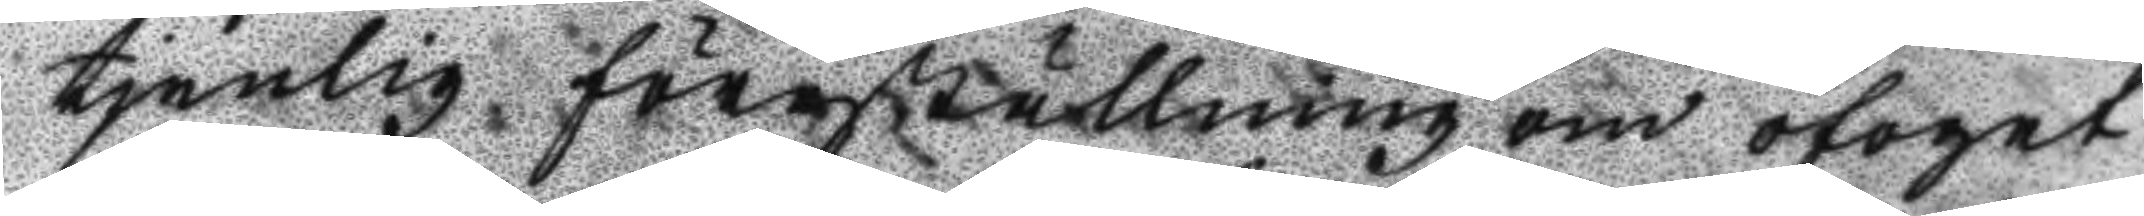tjenlig föreställning om ofoget
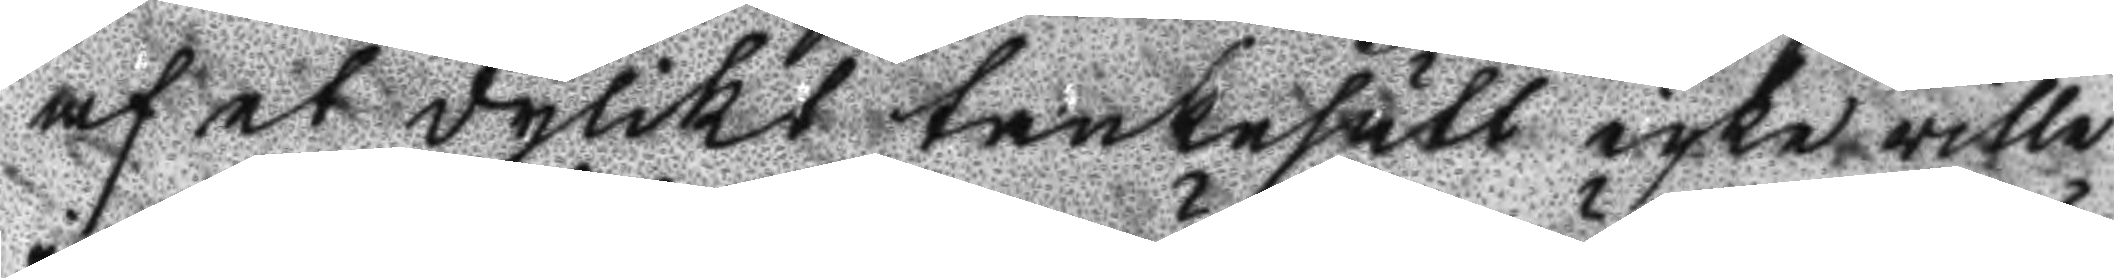af et dylikt tankesätt icke ville
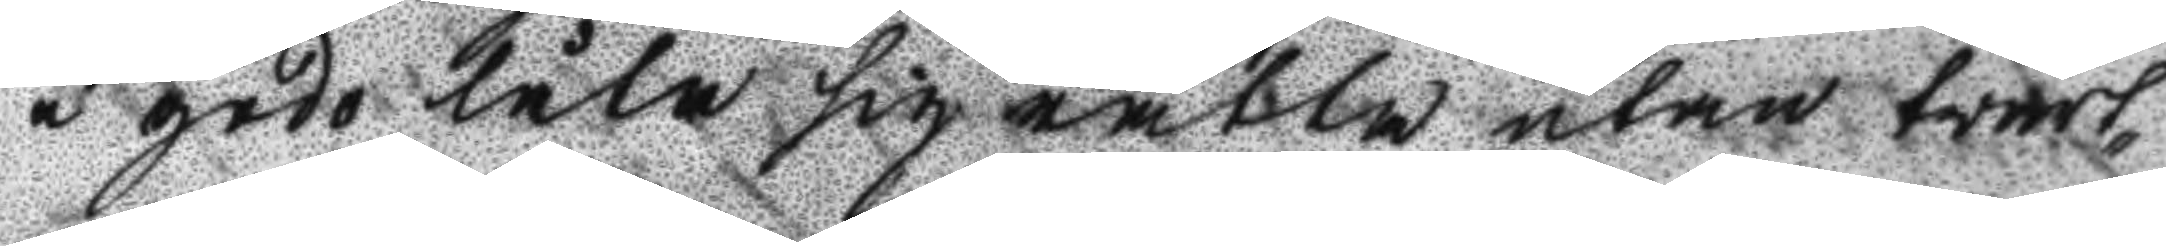i godo låta sig rätta utan tvärt¬
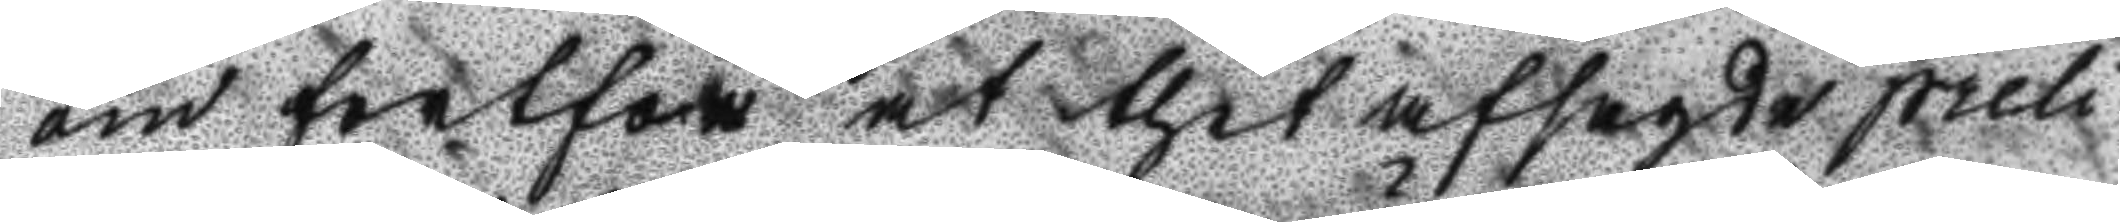om fortfor at thet afsagde preli¬
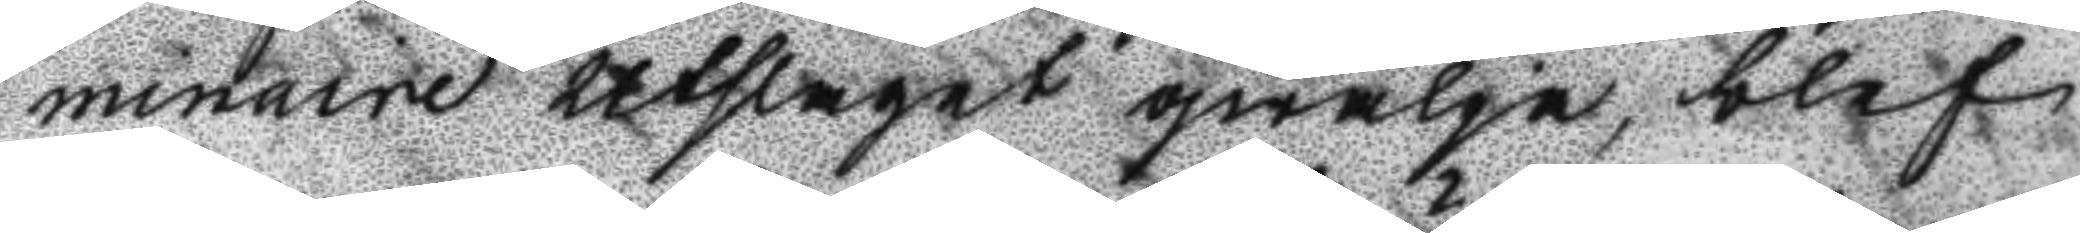minare utslaget qwälja, blef
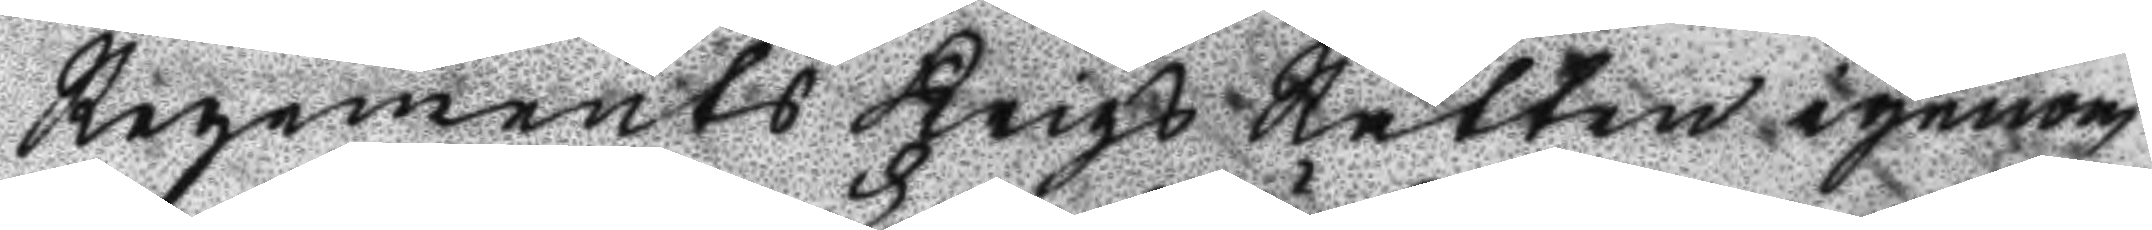Regements Krigs Rätten igenom
